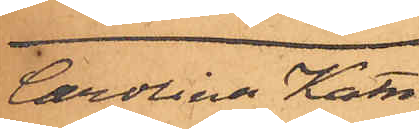Carolina Katri¬
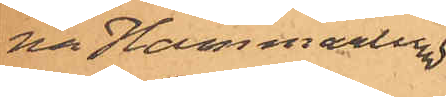na Hammarlund
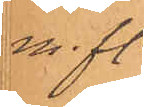m. fl.
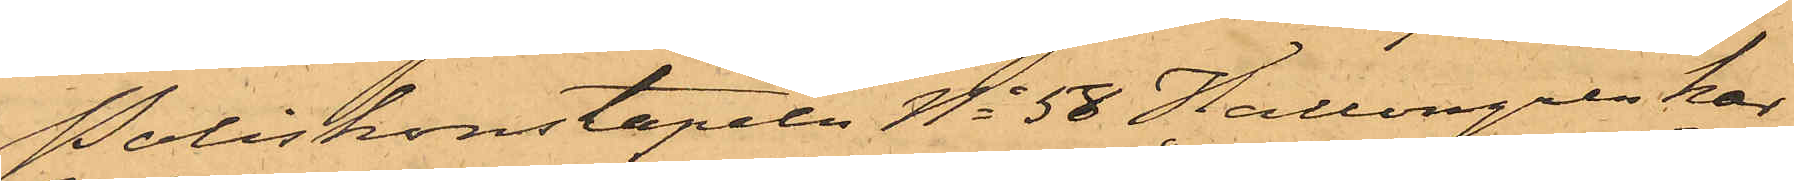Poliskonstapeln No 58 Hallengren har
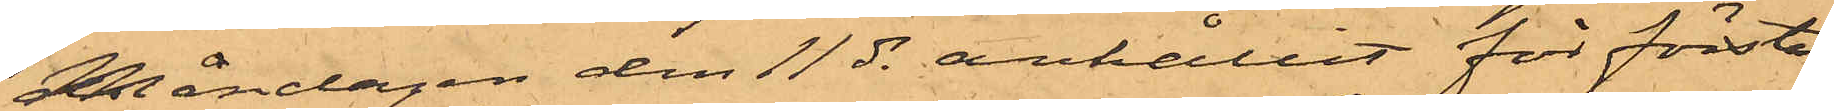Måndagen den 11 ds anhållit för första
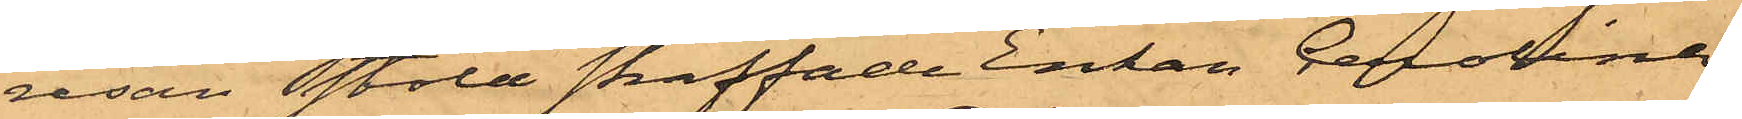resan stöld straffade Enkan Carolina
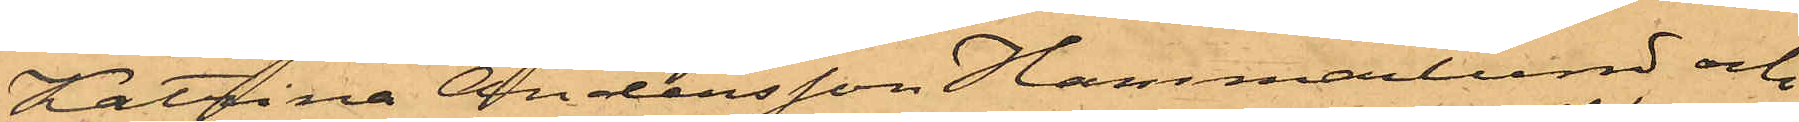Katrina Andersson Hammarlund och
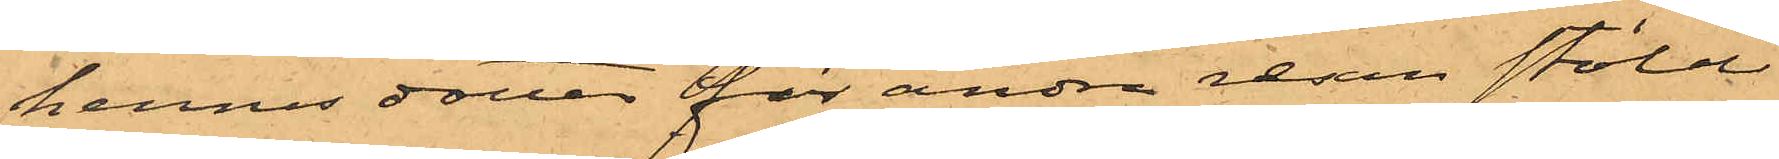hennes dotter för andra resan stöld
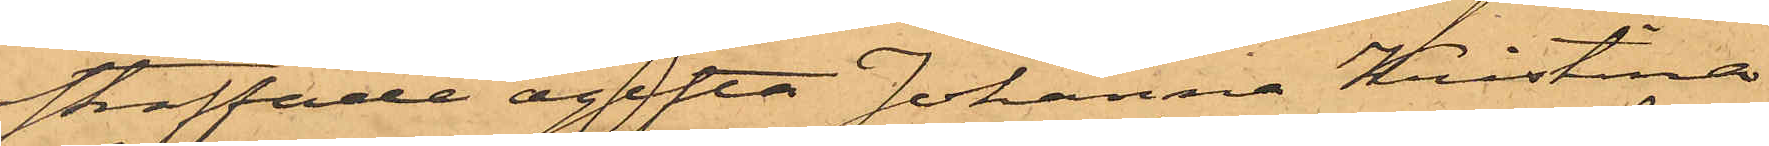straffade ogifta Johanna Kristina
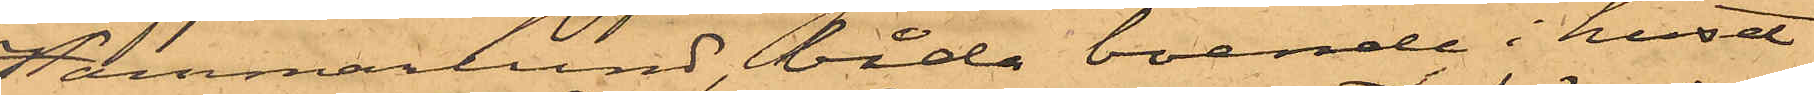Hammarlund, båda boende i huset
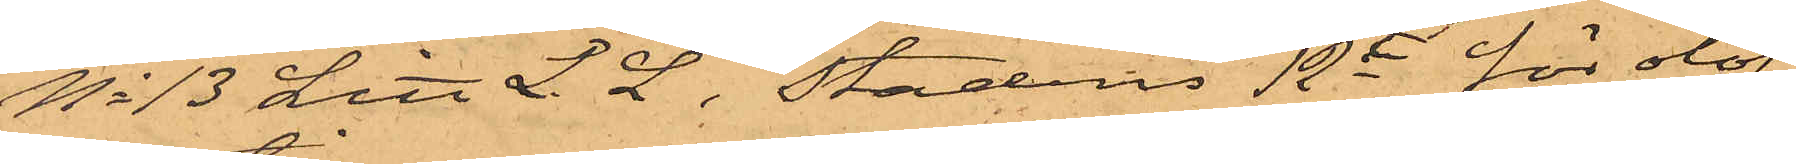No 13 Litt L. L i Stadens 12te för olof¬
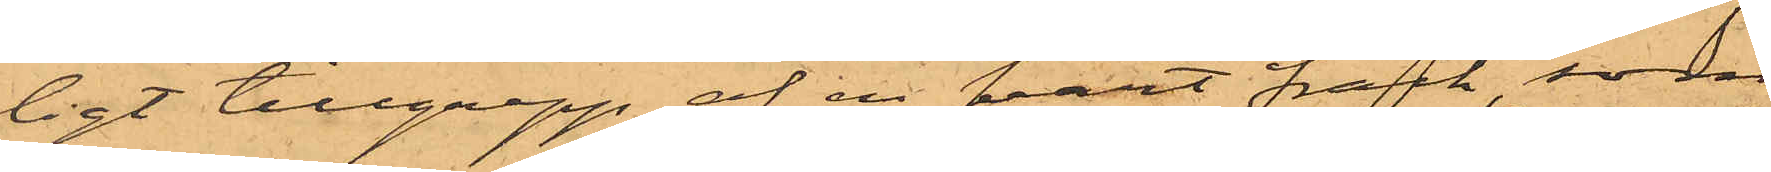ligt tillgrepp af en svart frack, som
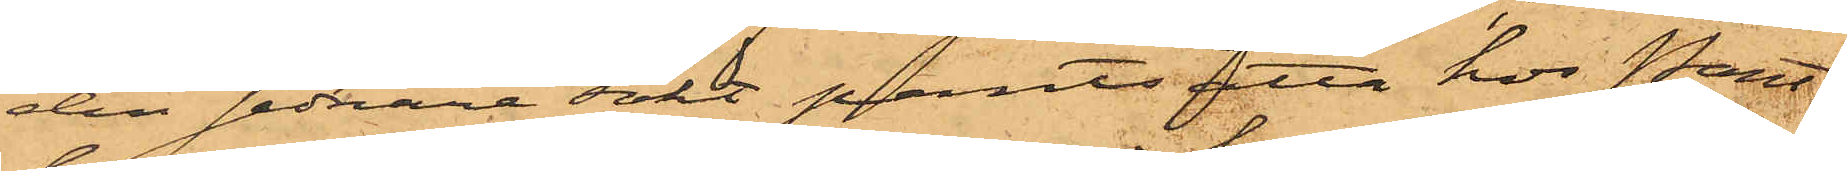den sednare sökt pantsätta hos Pant¬
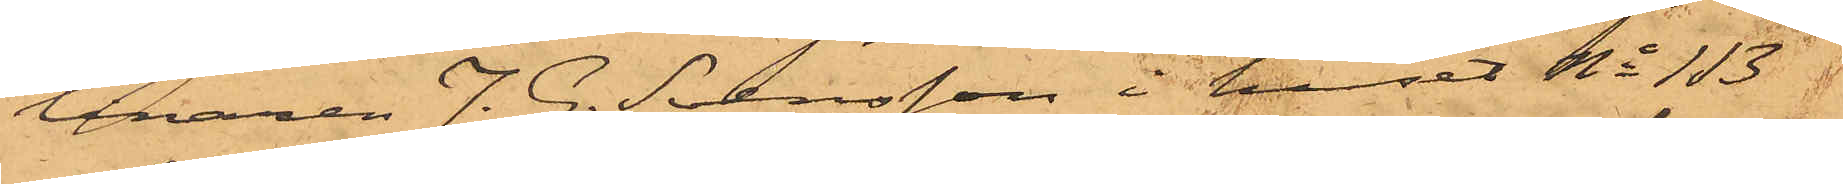lånaren J. G. Svensson i huset No 113 i
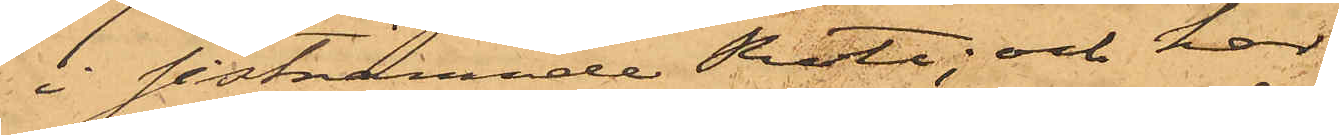i sistnämnde Rote, och har
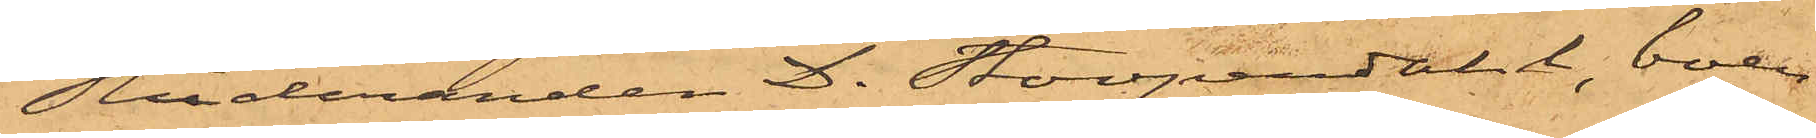Studeranden D. Stoopendahl, boen¬
